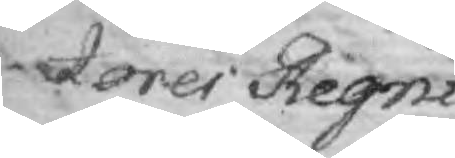tores Regni,
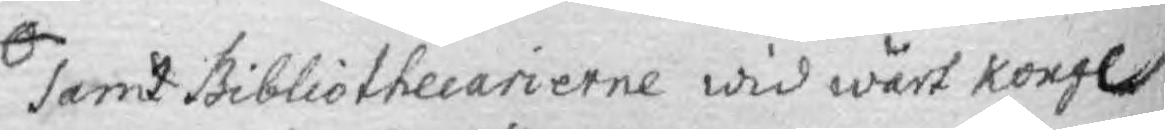samt Bibliothecarierne wid wårt Kongl.
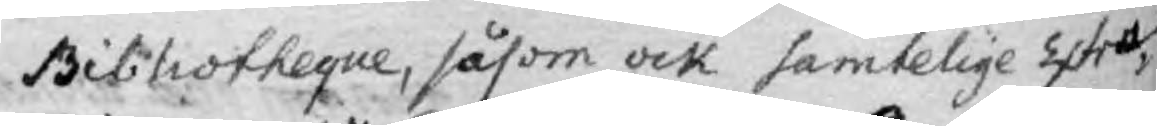Bibliotheque, såsom ock samtelige Extra
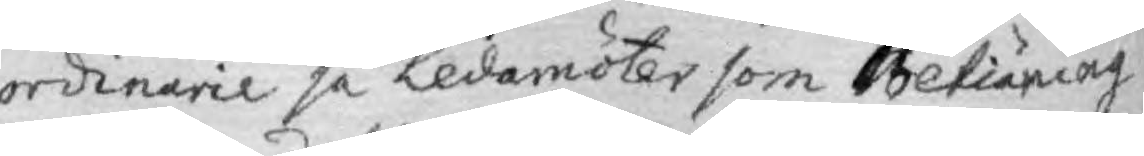ordinarie så Ledamöter som Betiänning
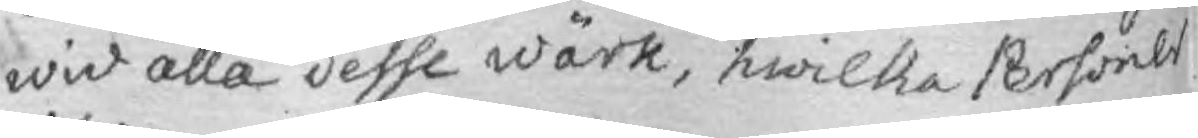wid alla desse wärk, hwilka Personer
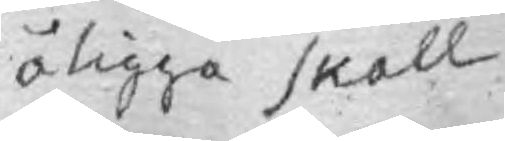åligga skall.
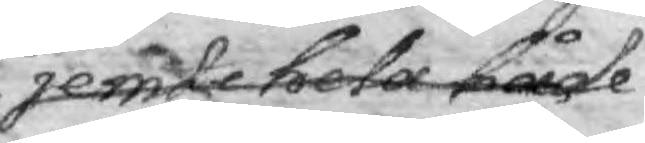jemte hela både
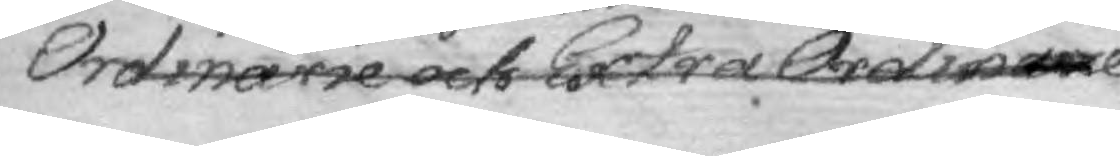Ordinarie och Extra Ordniarie
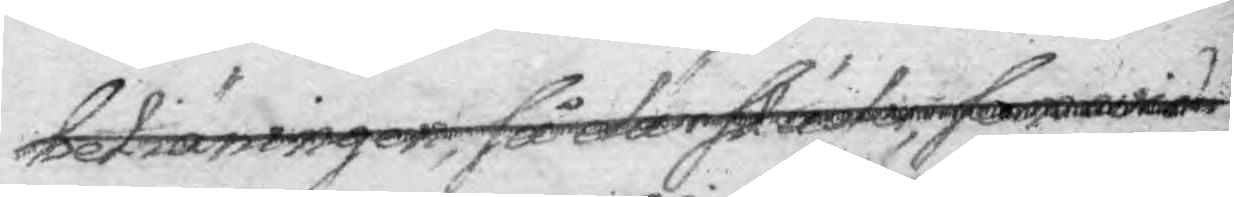betiäningen, så där släles, som wid
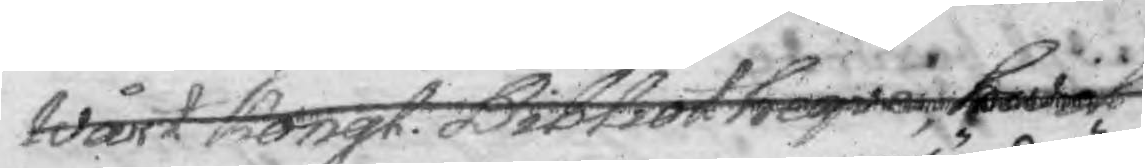Wårt Kongl. Bobliotheqve, hwil¬
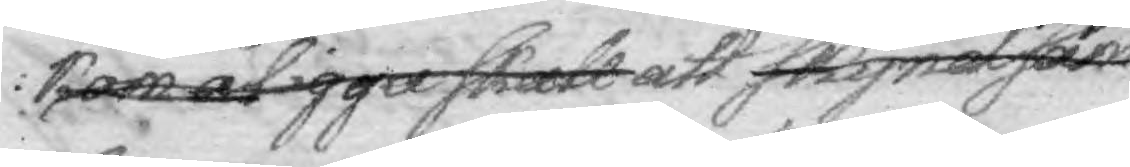kom åligga skall att skyndsam ofördröje¬
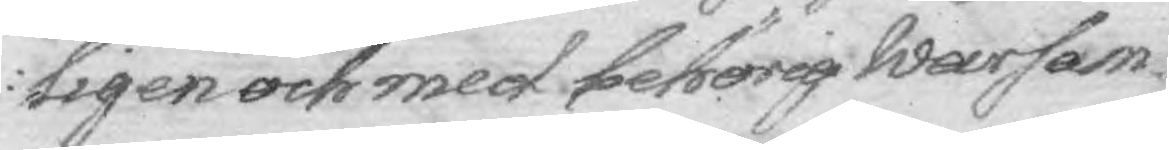ligen och med behörig warsam¬
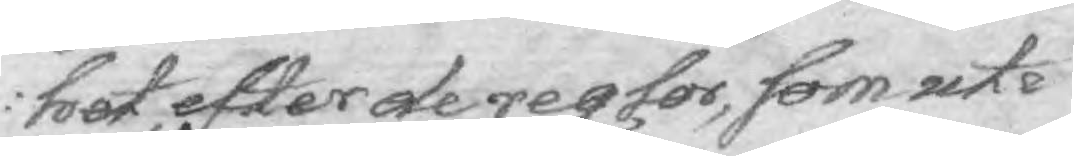het, efter de regler, som uti
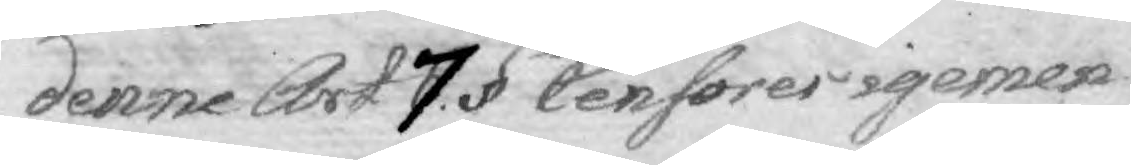denne Art 7. § för Censores igemen
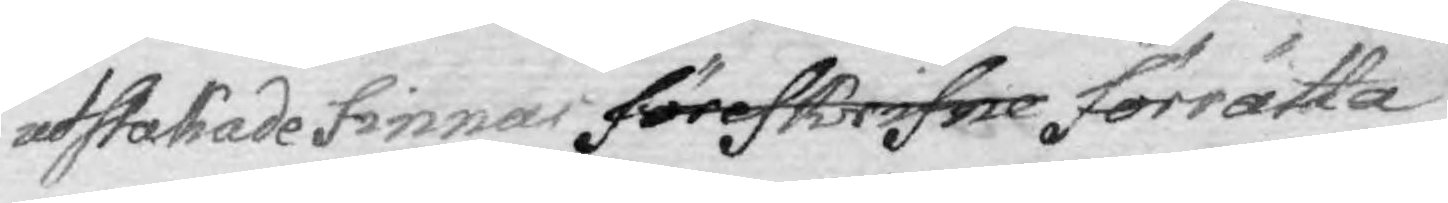utstakade finnas föreskrifne förrätta
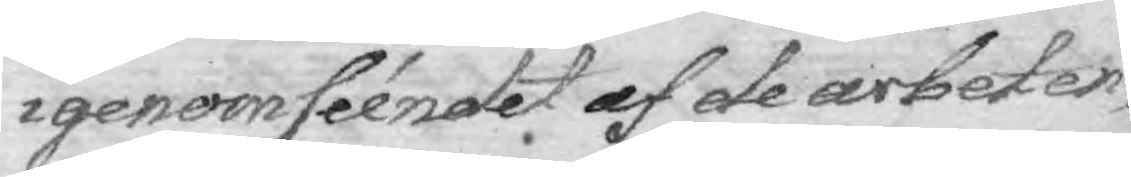igenomséendet af de arbeten
